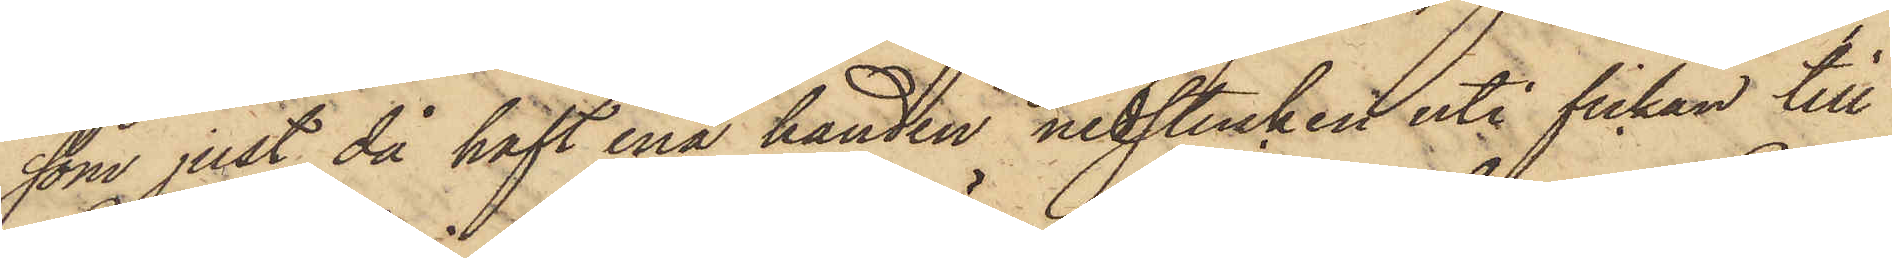som just då haft ena handen nedstucken uti fickan till
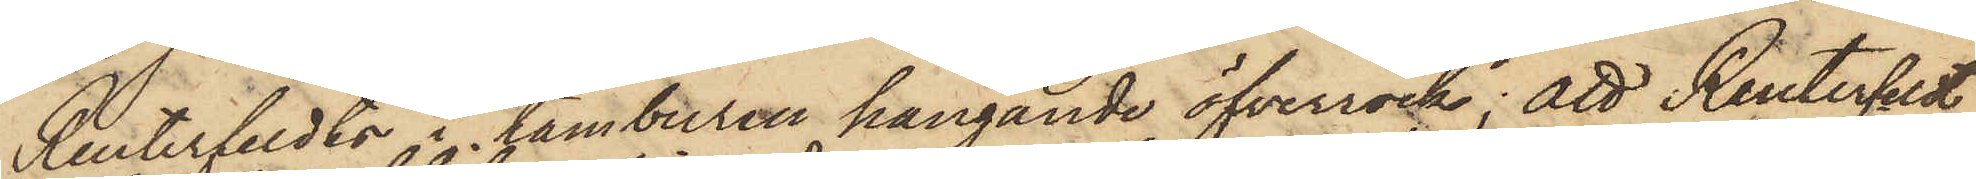Reuterfeldts i tamburen hängande öfverrock; att Reuterfeldt
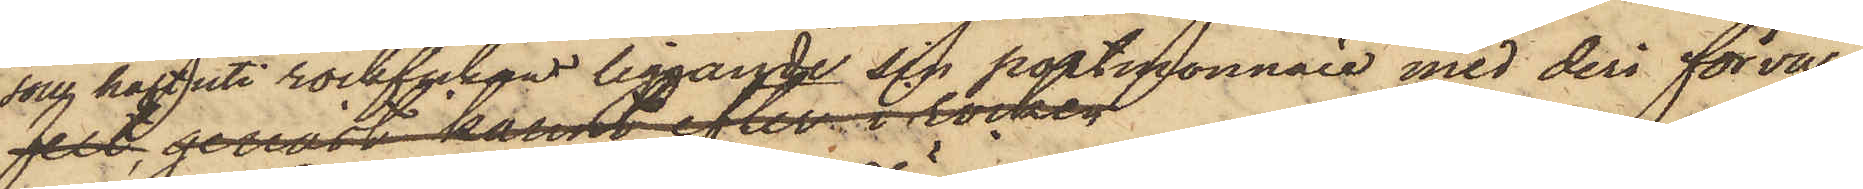som haft uti rockfickan liggande sin portmonnaie med deri förva¬
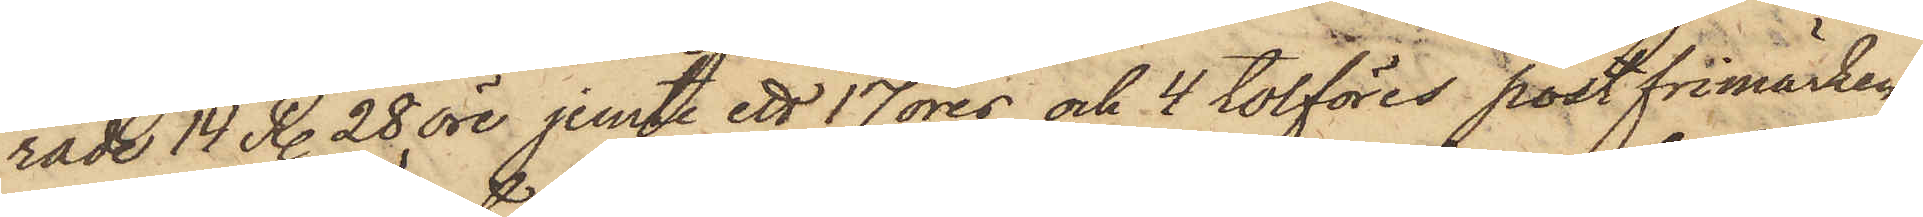rade 14 R. 28 öre jemte ett 17 öres och 4 tolföres postfrimärken,
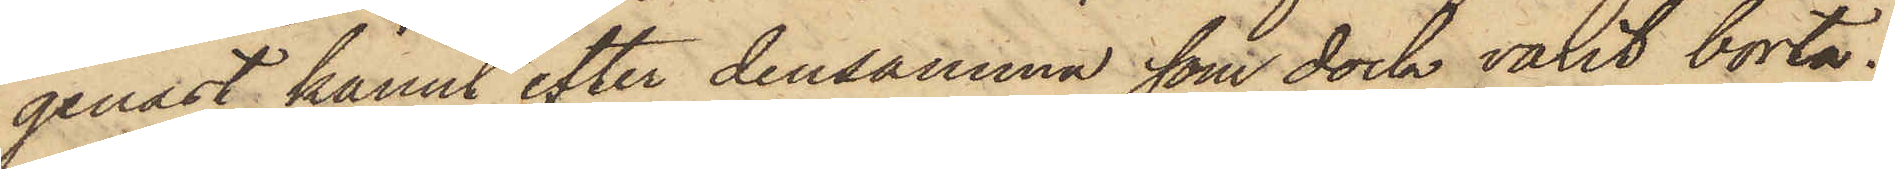genast kännt efter densamma som dock varit borta;
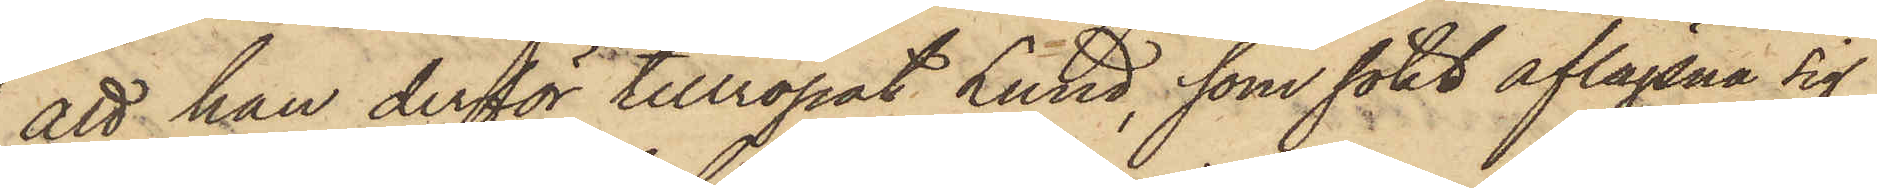att han derför tillropat Lund, som sökt aflägsna sig,
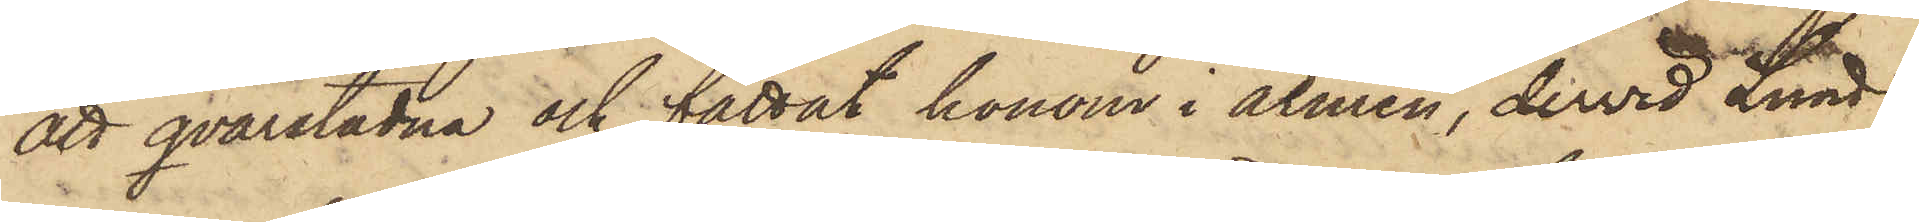att qvarstadna och fattat honom i armen, dervid Lund
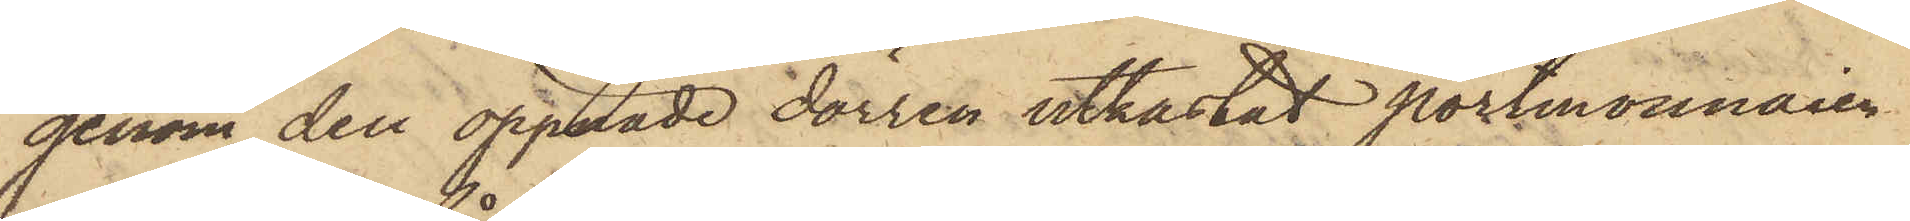genom den öpppade dörren utkastat portmonnaien
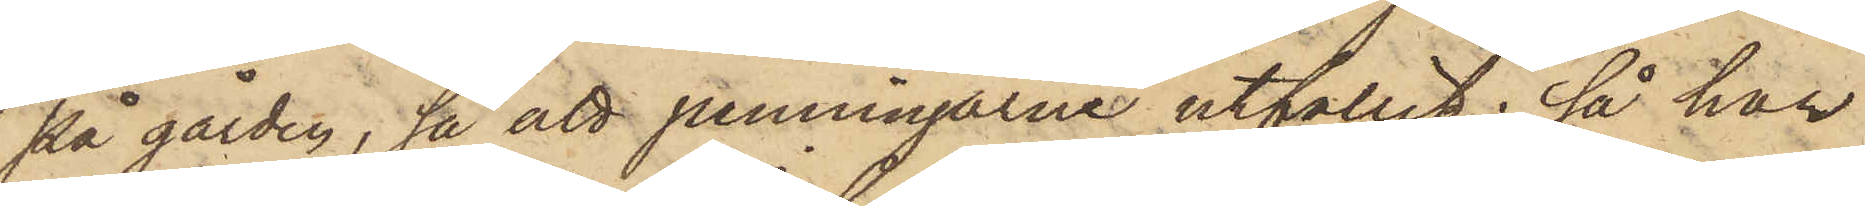på gården, så att penningarne utfallit; så har
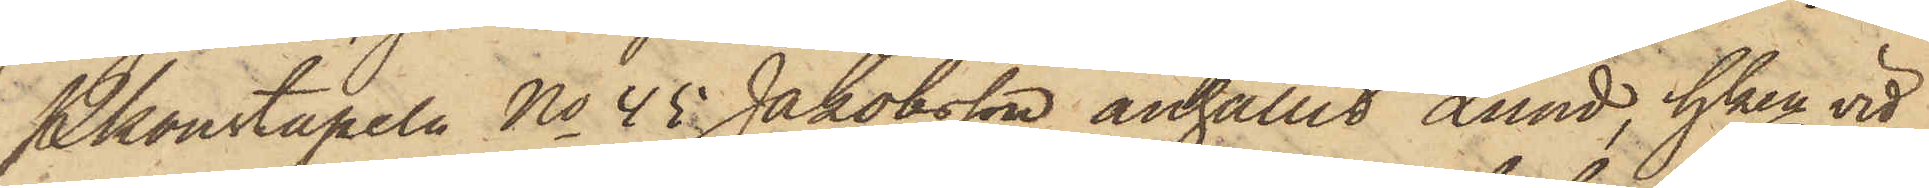Pkonstapeln No 45 Jakobsson anhållit Lund, hken vid
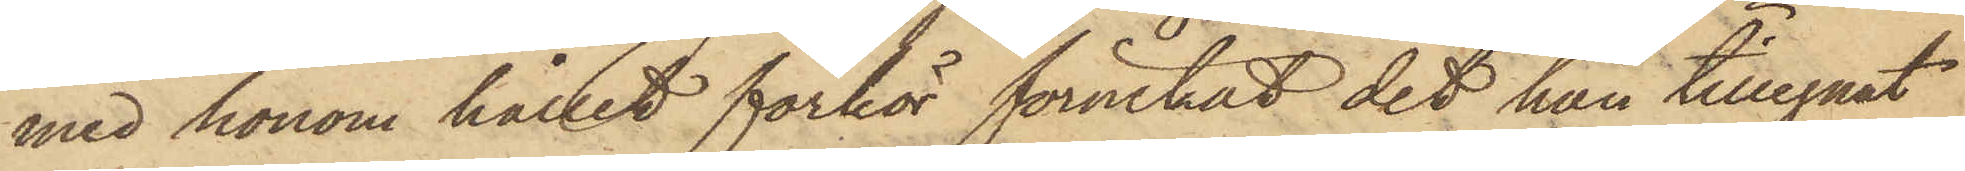med honom hållet förhör förnekat det han tillegnat
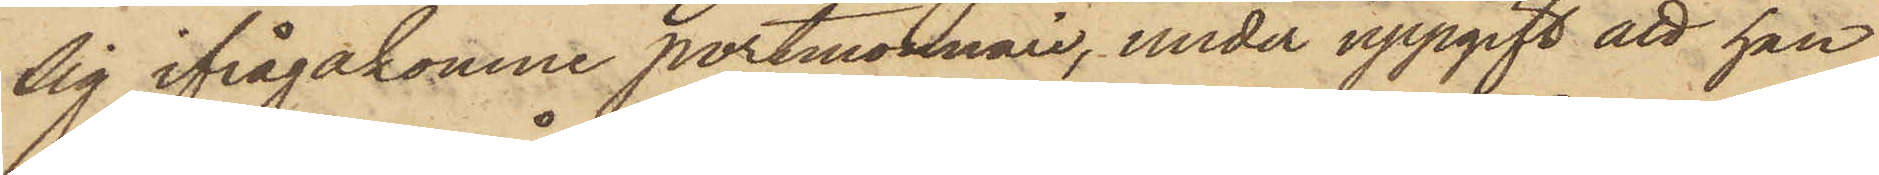sig ifrågakomne portmonnaie, under uppgift att han
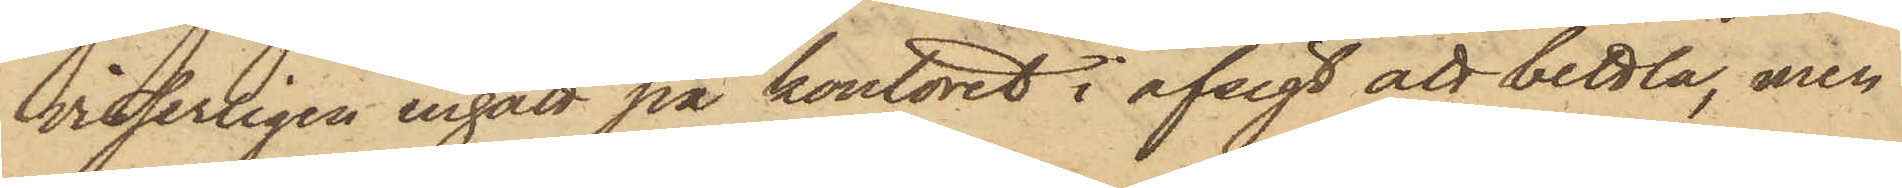visserligen ingått på kontoret i afsigt att bettla, men
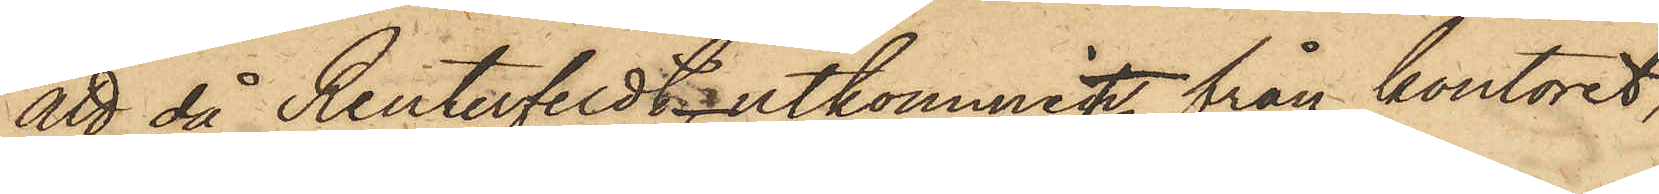att, då Reuterfeldt utkommit från kontoret,
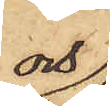och
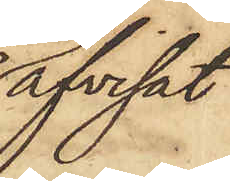afvisat
